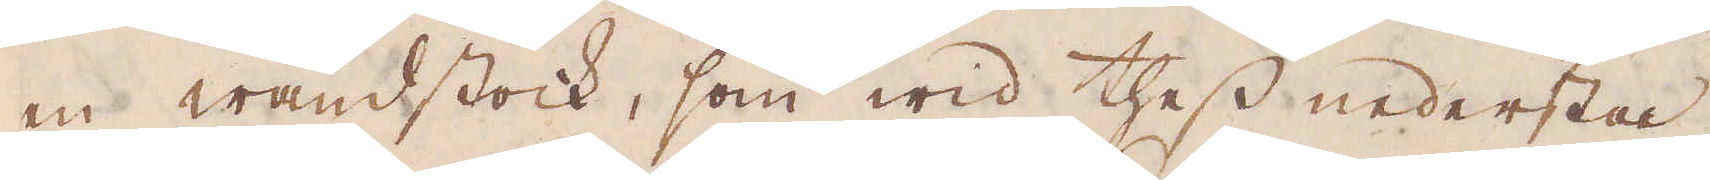en wändstock, som wid thess nedersta
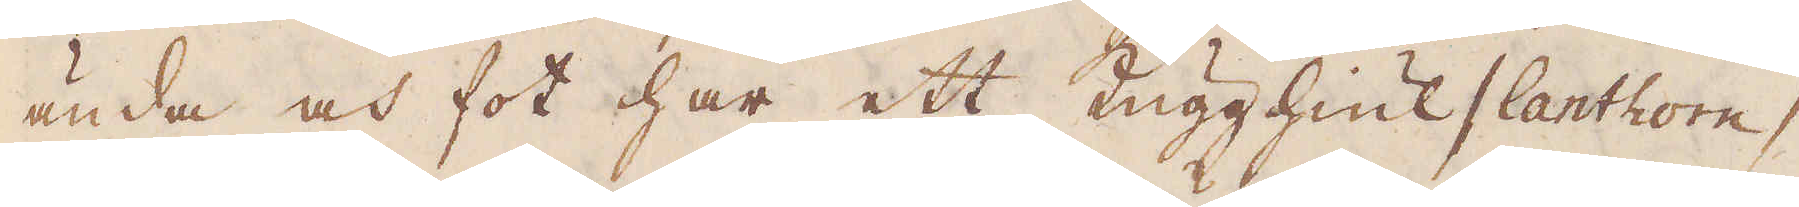ända och fot har ett Kugghiul / lanthom /
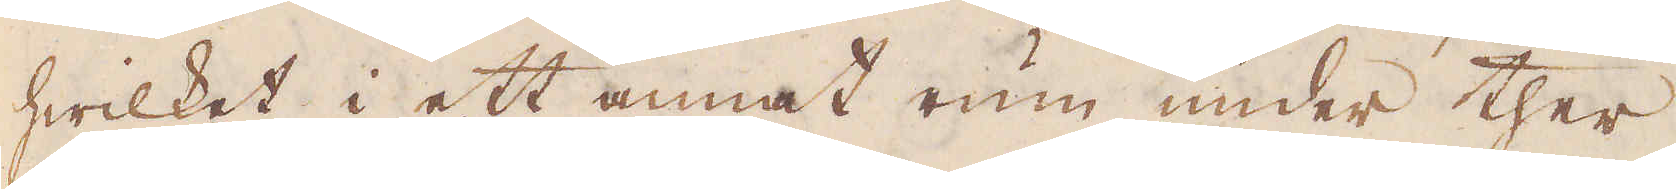hwilket i ett annat rum under ther
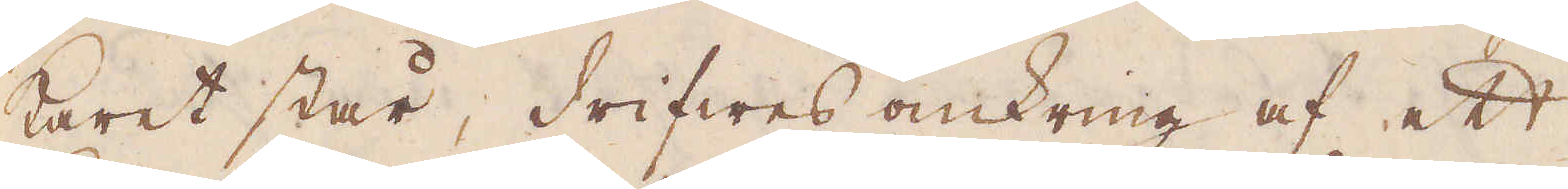karet står, drifwes omkring af ett
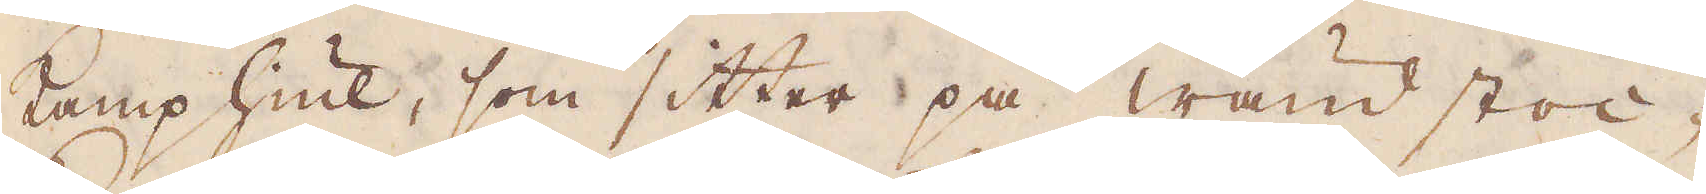kamphiul, som sitter på wänd stoc-
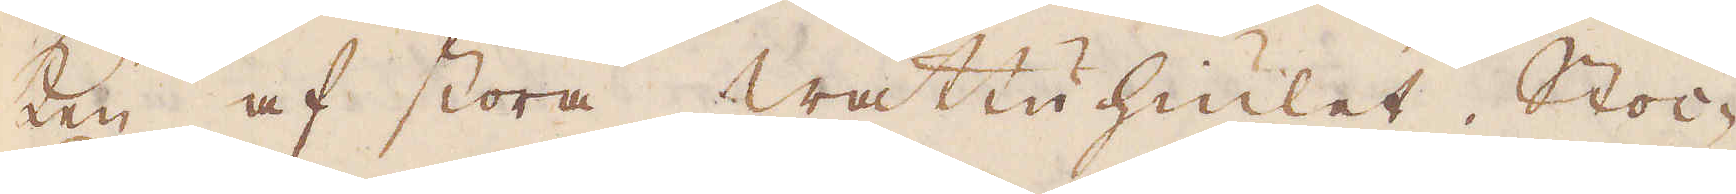ken af stora wattuhiulet. Stoc-
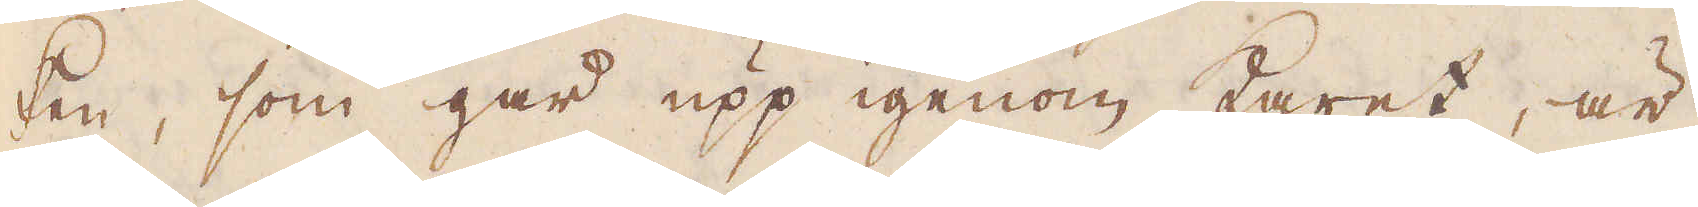ken, som går upp igenom karet, är
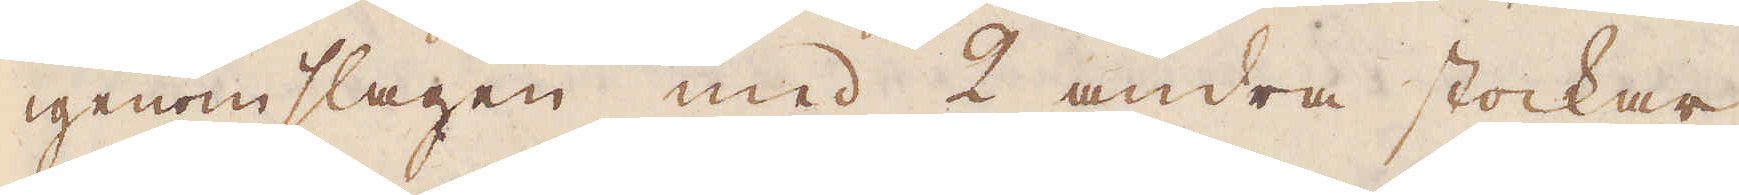igenomslagen med 2 andra stockar
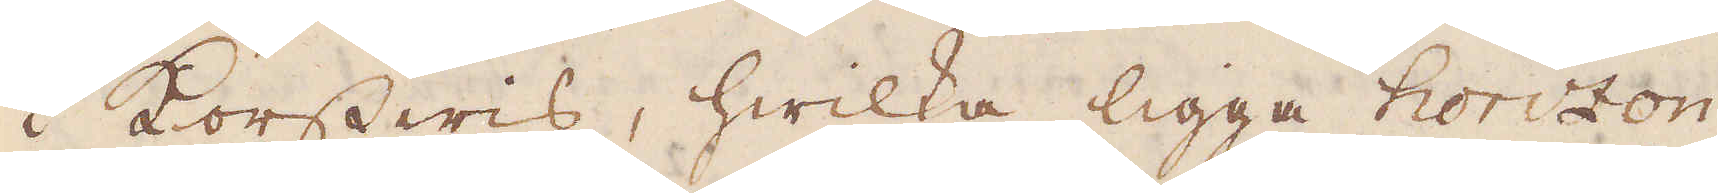i Korswis, hwilka ligga horizon-
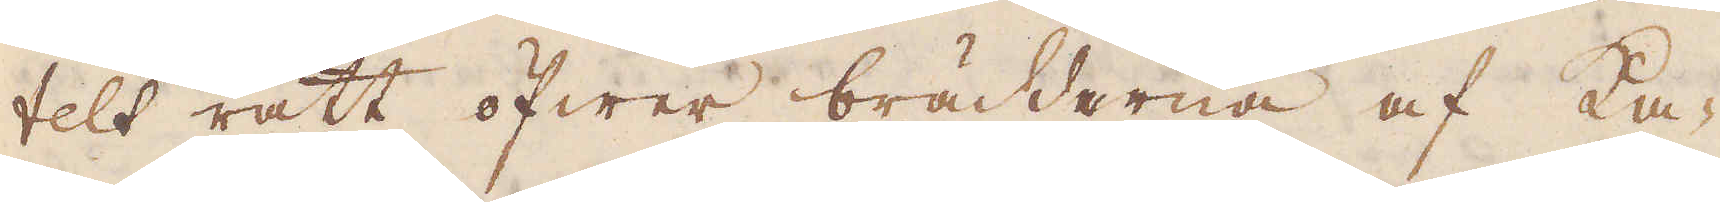telt rätt öfwer bräddarna af Ka-
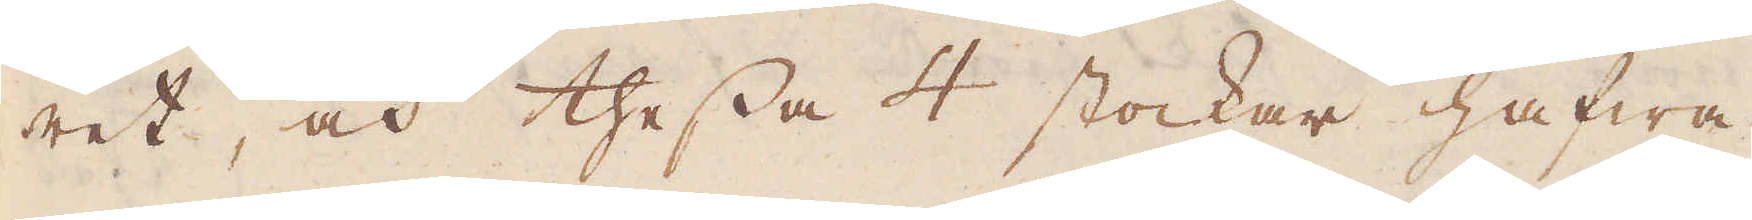ret, och thessa 4 stockar hafwa
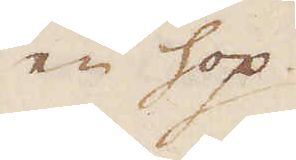en hop.
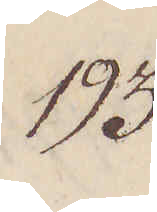193.
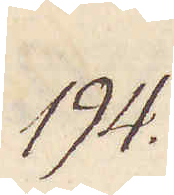194.
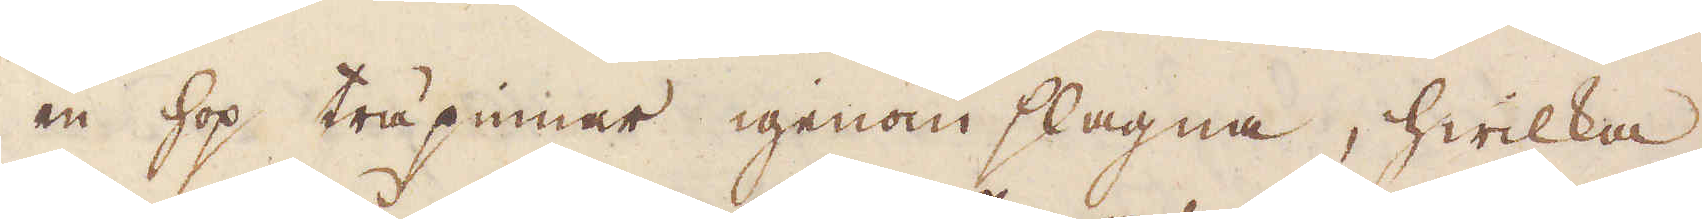en hop träpinnar igenom slagna, hwilka
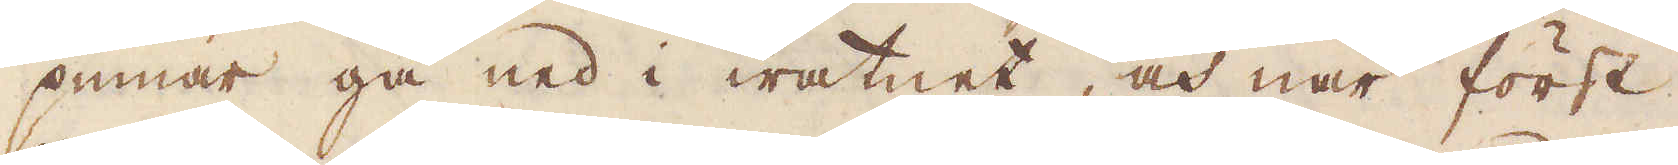pinnar gå ned i watnet, och när först
